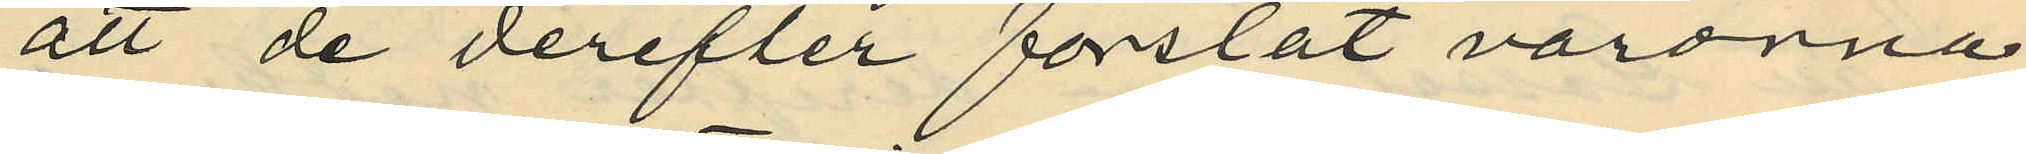att de derefter forslat varorna
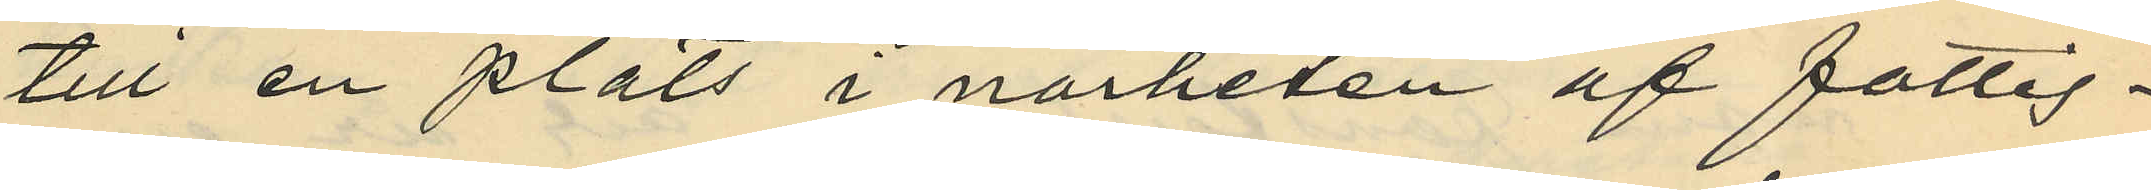till en plats i närheten af fattig¬
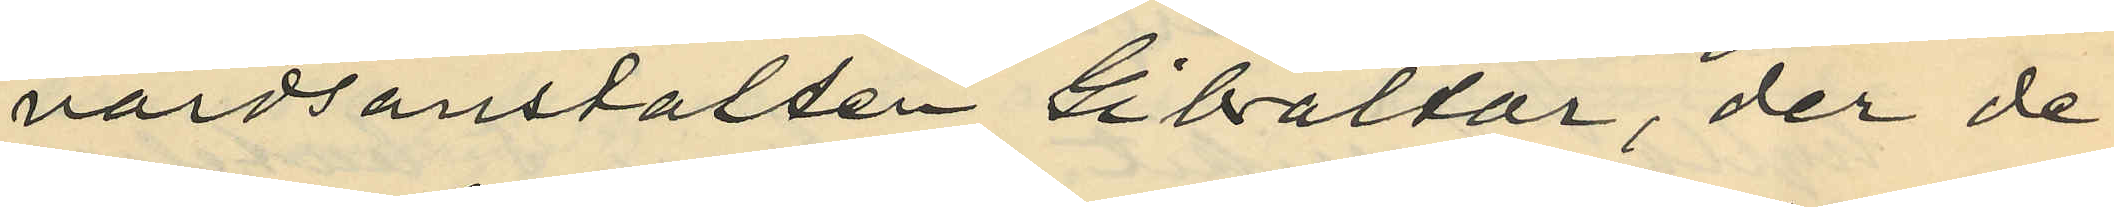vårdsanstalten Gibraltar, der de
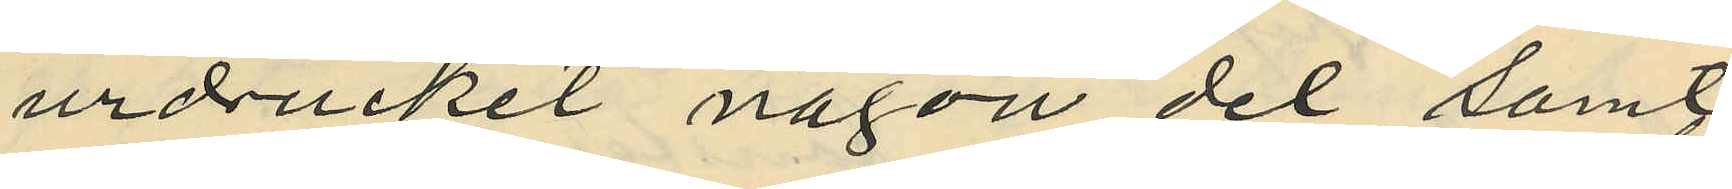urdrucket någon del samt
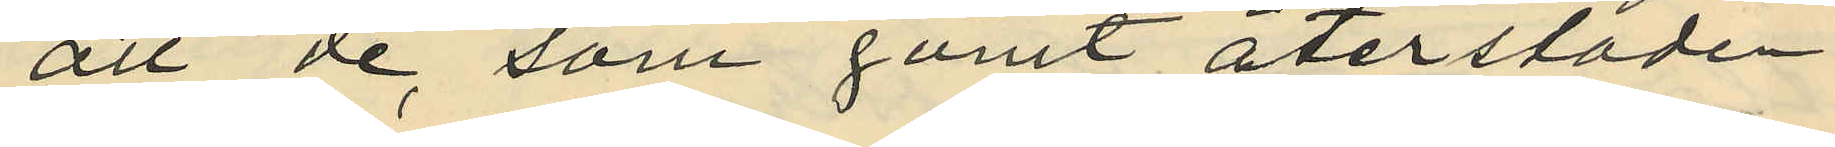att de, som gömt återstoden
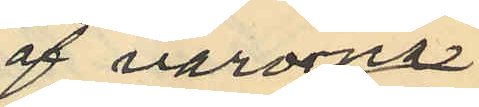af varorna
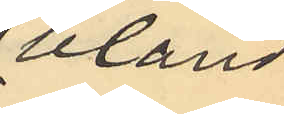bland
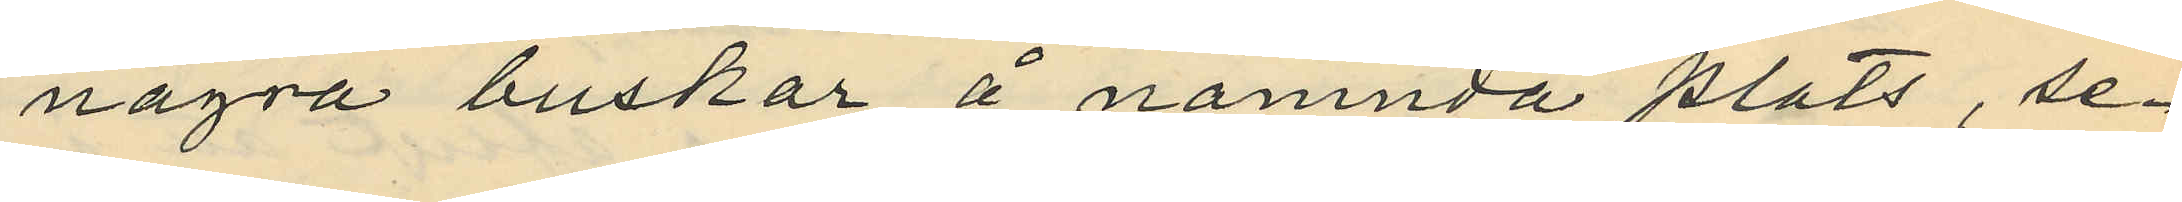några buskar å nämnda plats, se¬
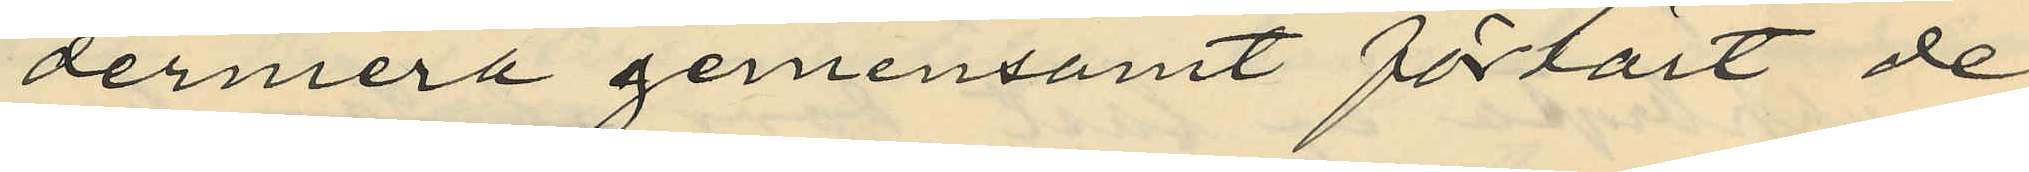dermera gemensamt förtärt de
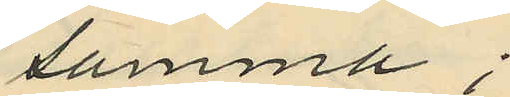samma;
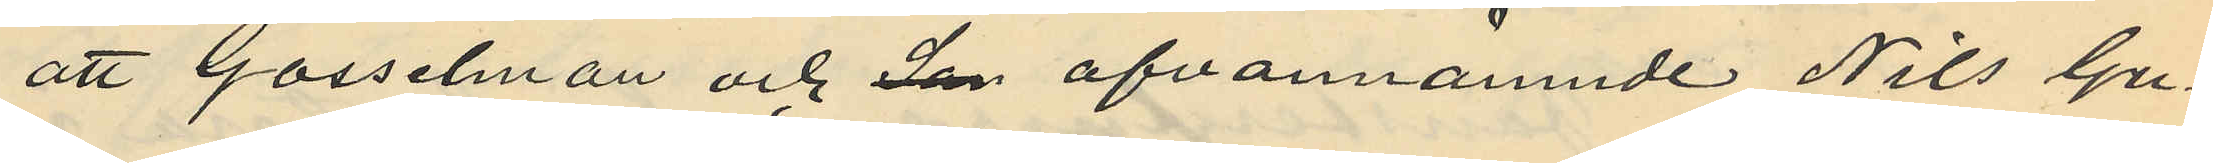att Gosselman och San ofvannämnde Nils Gu¬
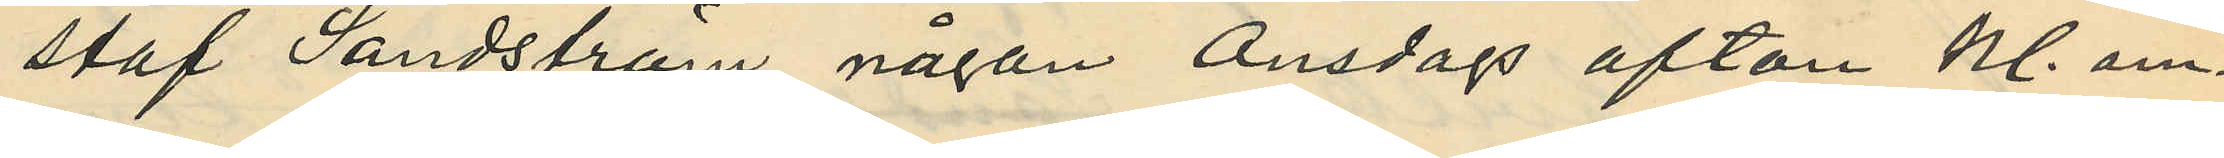staf Sandström någon Onsdags afton kl. om¬
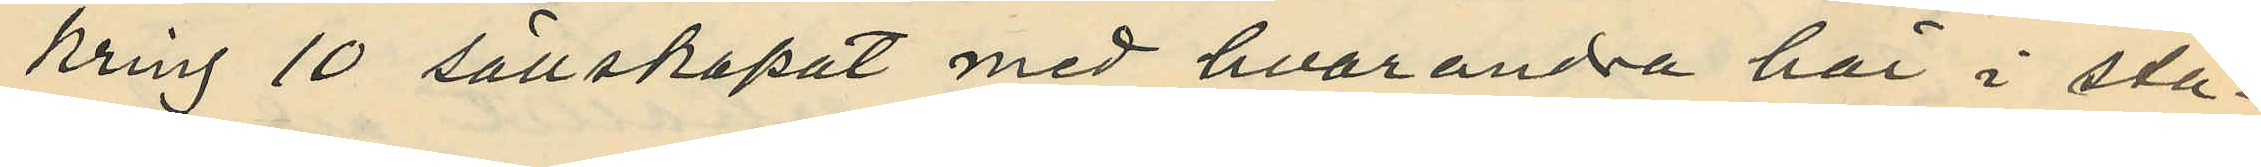kring 10 sällskapat med hvarandra här i sta¬
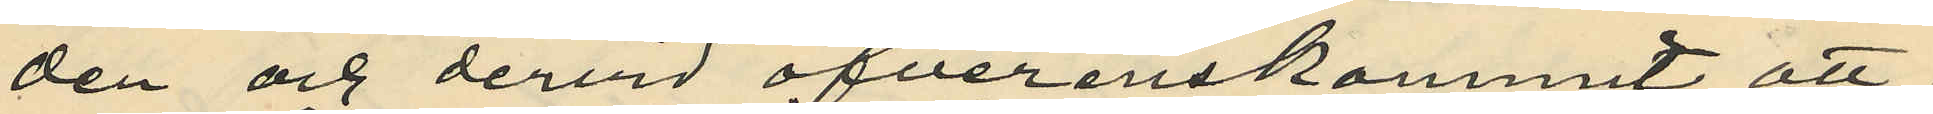den och dervid öfverenskommit att
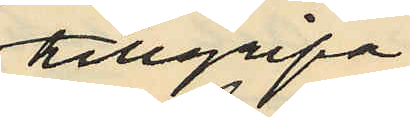tillgripa
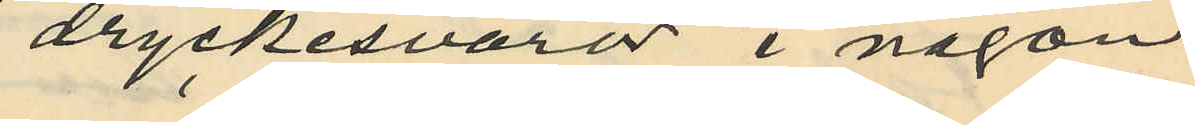dryckesvaror i någon
